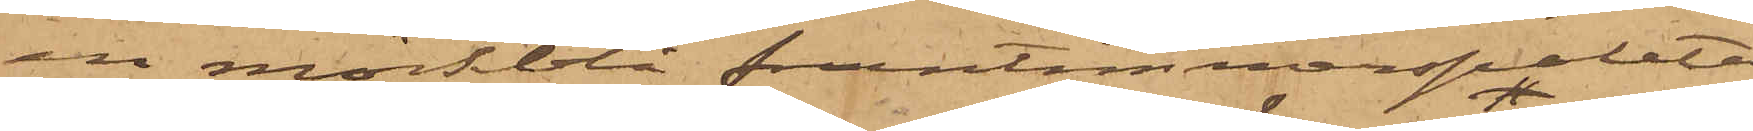en mörkblå fruntimmerspaletå,
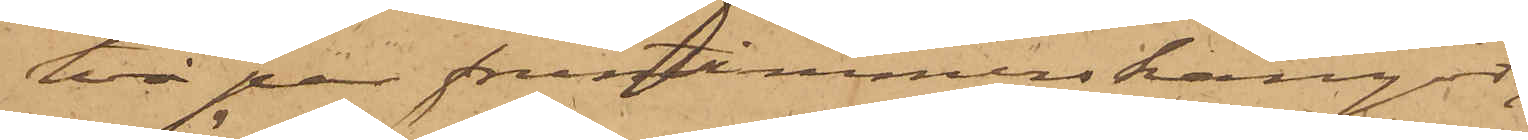två par fruntimmerskängor,
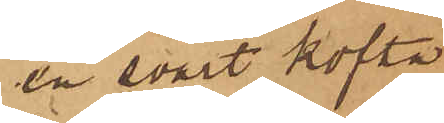en svart kofta
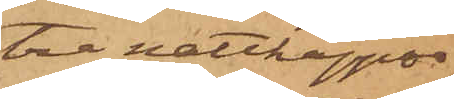tre nattkappor,
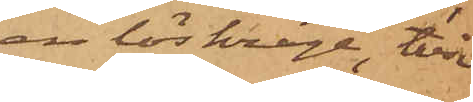en löskrage, två
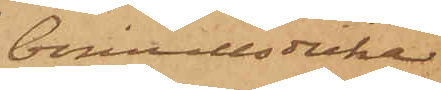bomullsdukar
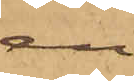en
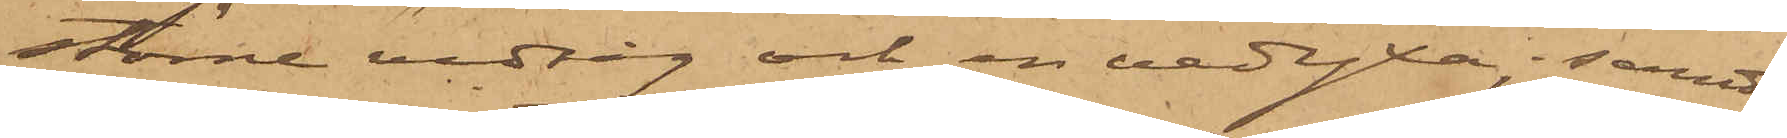större vedsåg och en vedyxa, samt
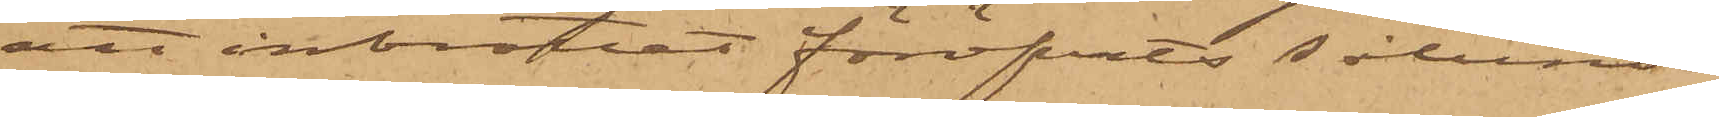att inbrottet föröfvats sålunda
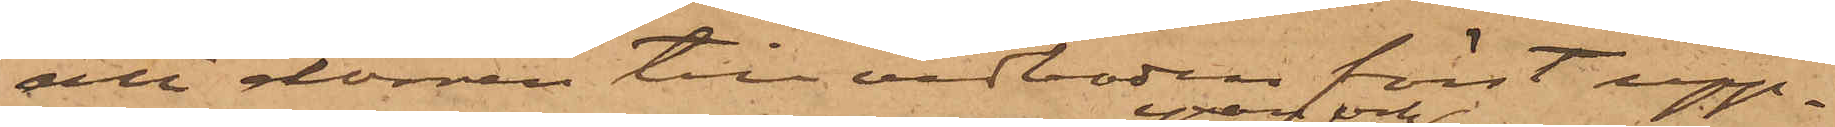att dörren till vedboden först upp¬
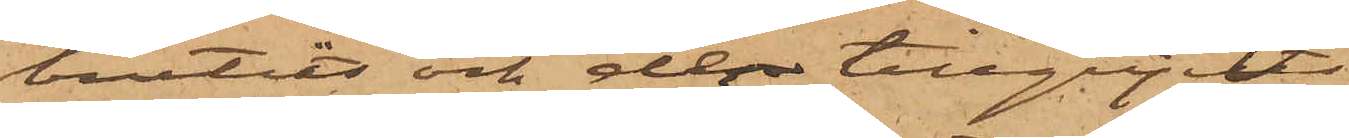brutits och der tillgripits
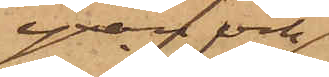yxan och
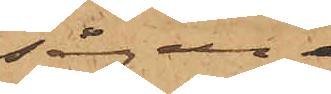sågen
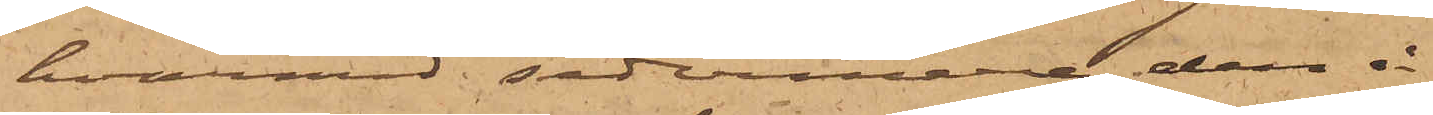, hvarmed sedermera den å
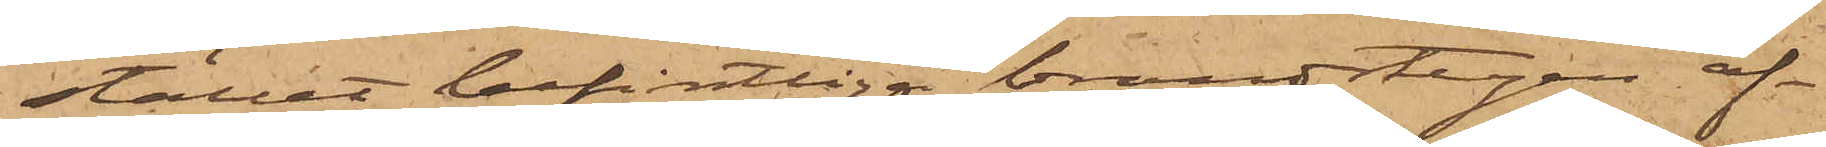stället befintliga brandstegen af¬
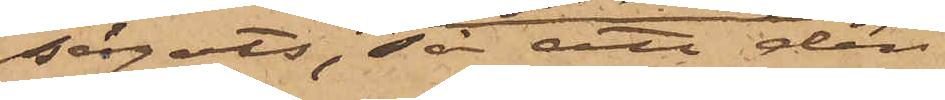sågats, så att den
